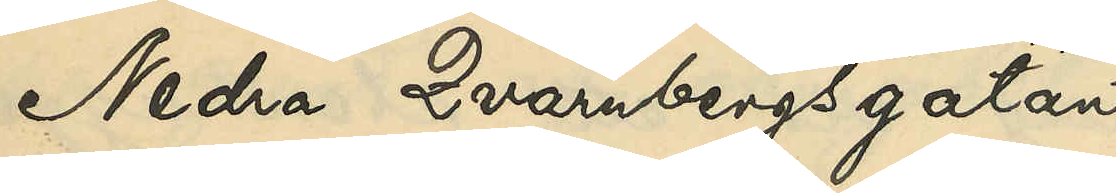Nedra Qvarnbergsgatan
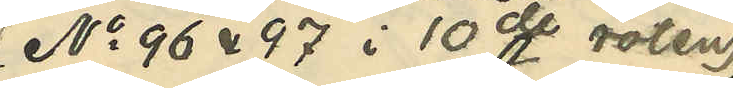(No 96 & 97 i 10de roten)
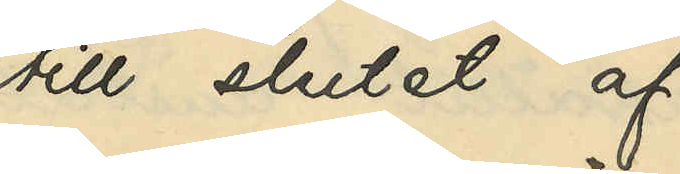till slutet af
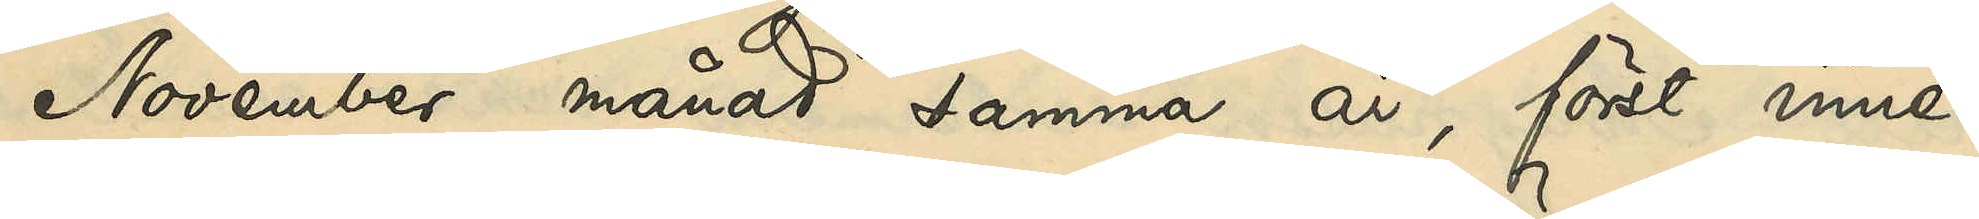November samma år, först inne¬
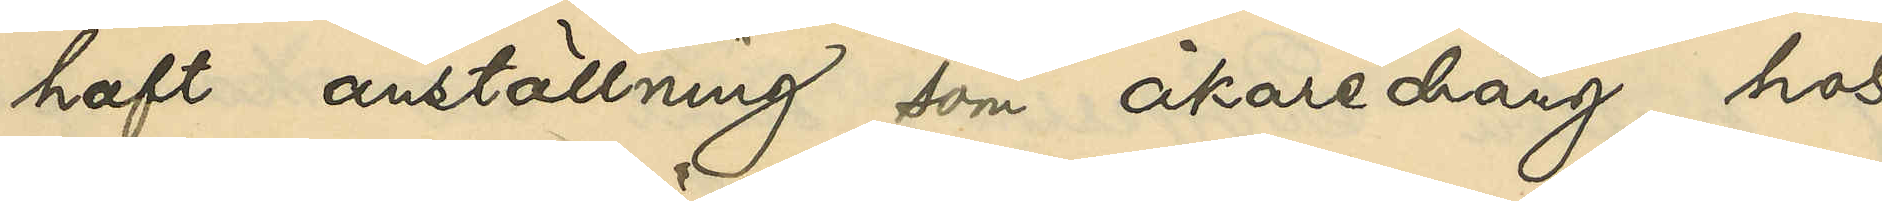haft anställning som åkaredräng hos
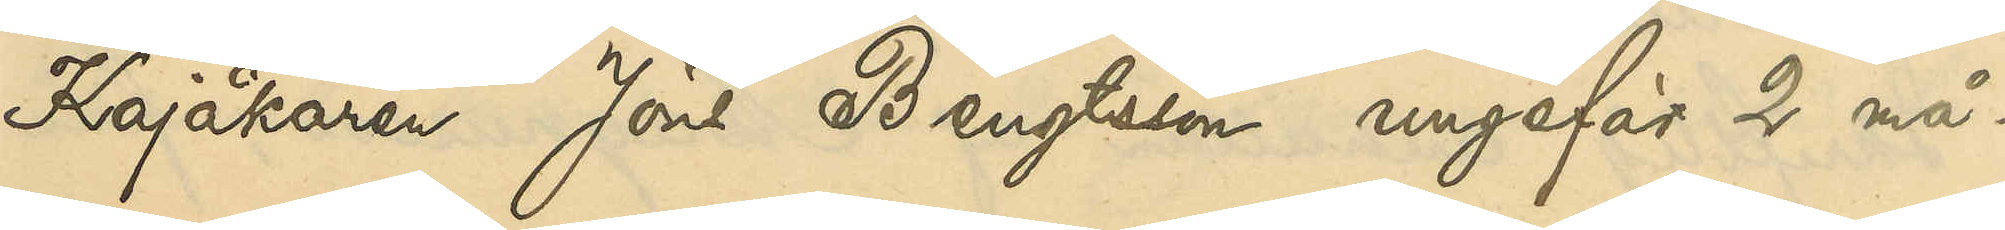Kajåkaren Jöns Bengtsson ungefär 2 må¬
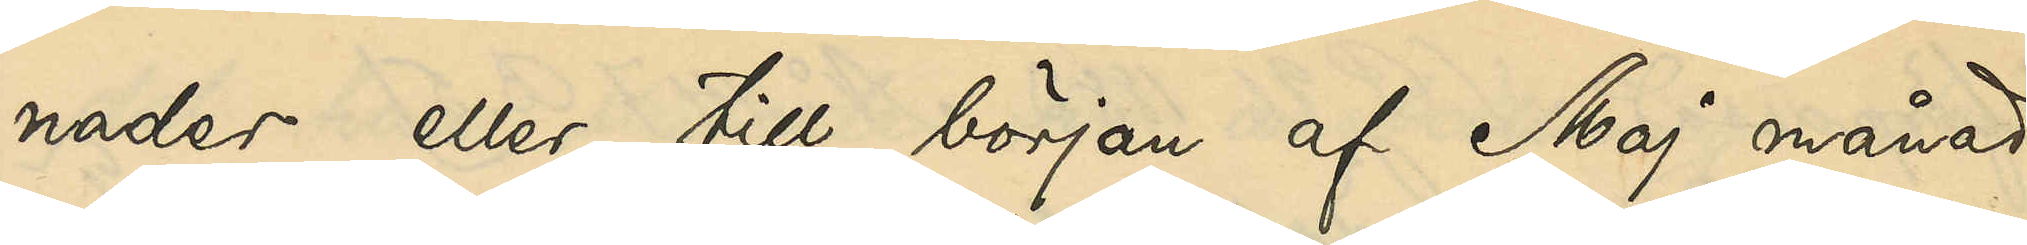nader eller till början af Maj månad
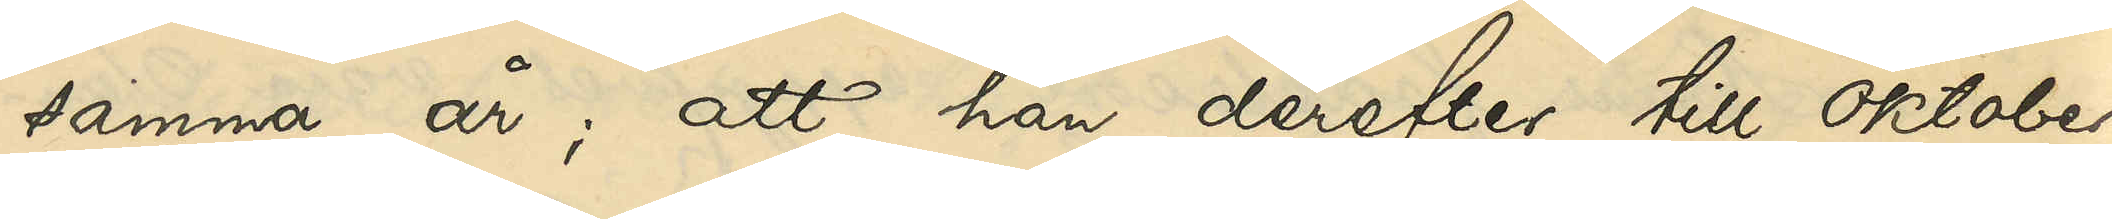samma år; att han derefter till oktober
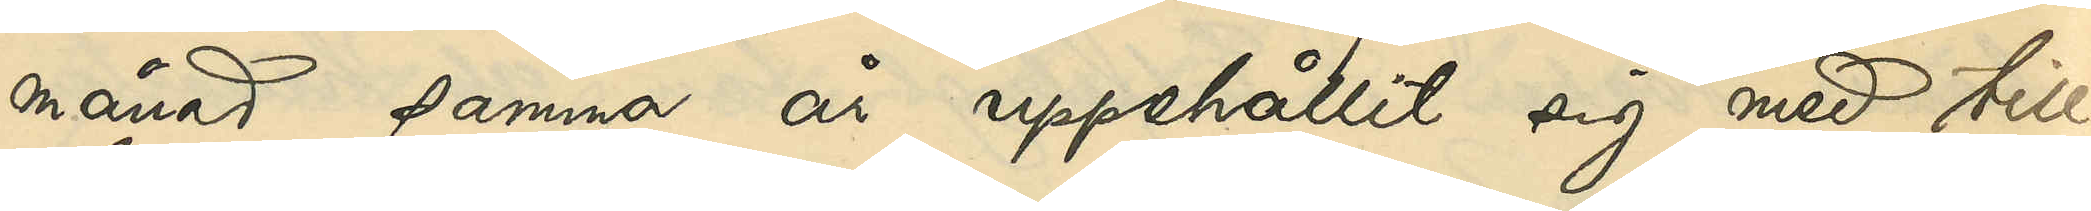månad samma år uppehållit sig med till¬
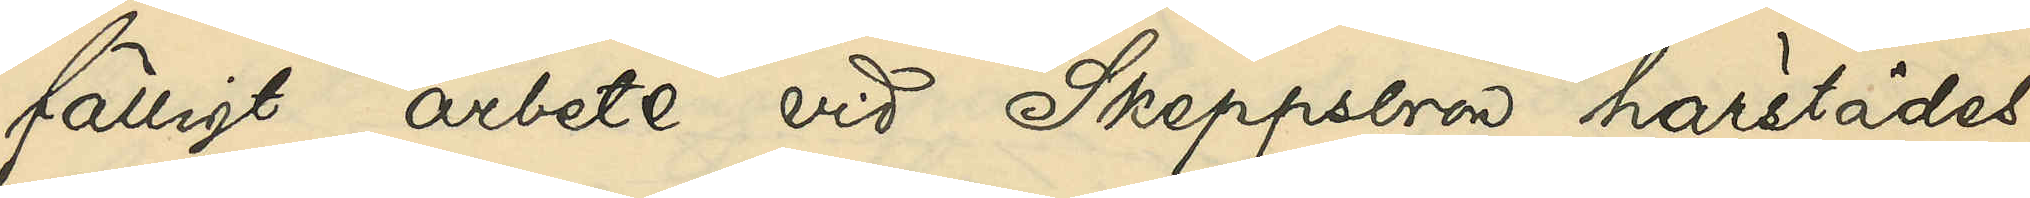fälligt arbete vid Skeppsbron härstädes,
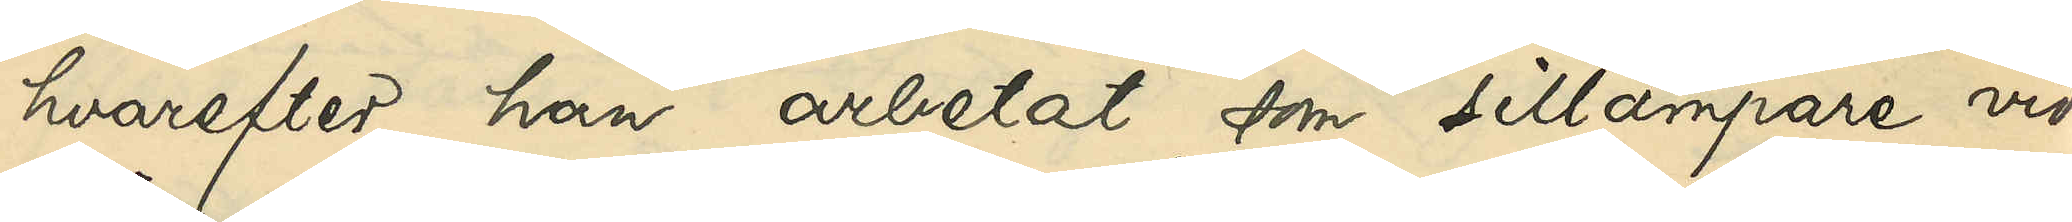hvarefter han arbetat som sillämpare vid
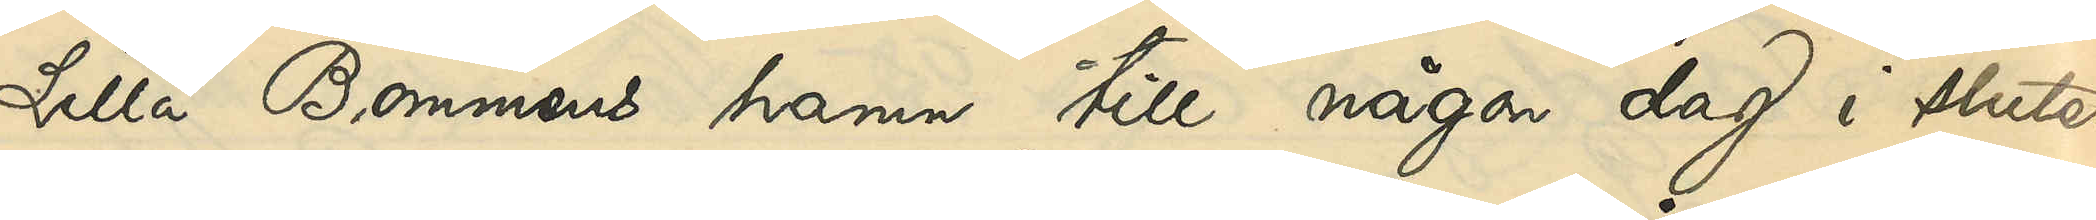Lilla Bommens hamn till någon dag i slutet
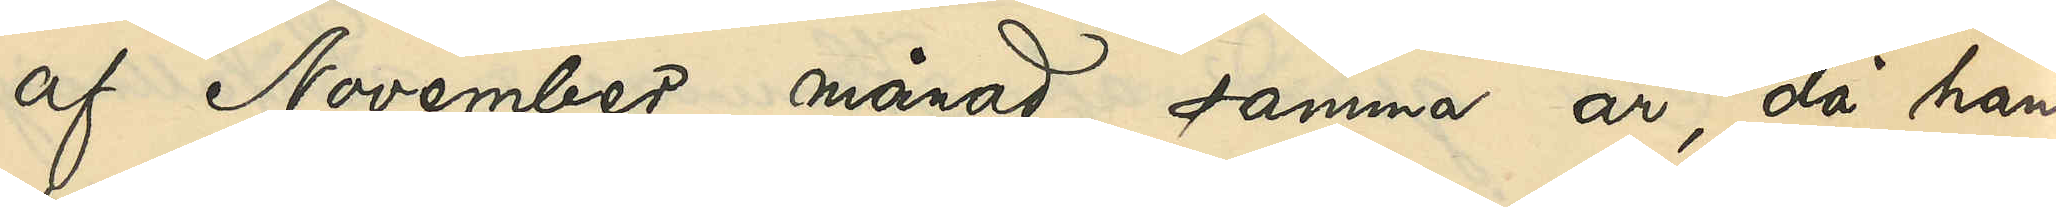af November månad samma år, då han,
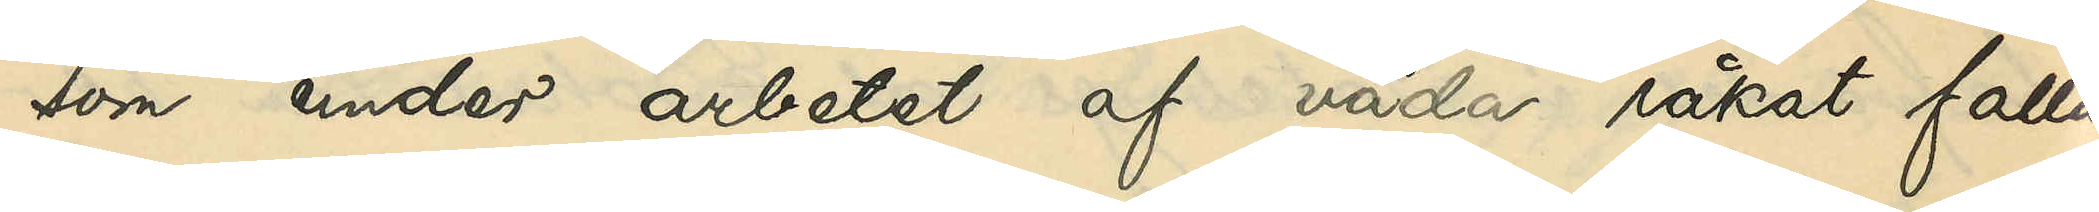som under arbetet af våda råkat falla
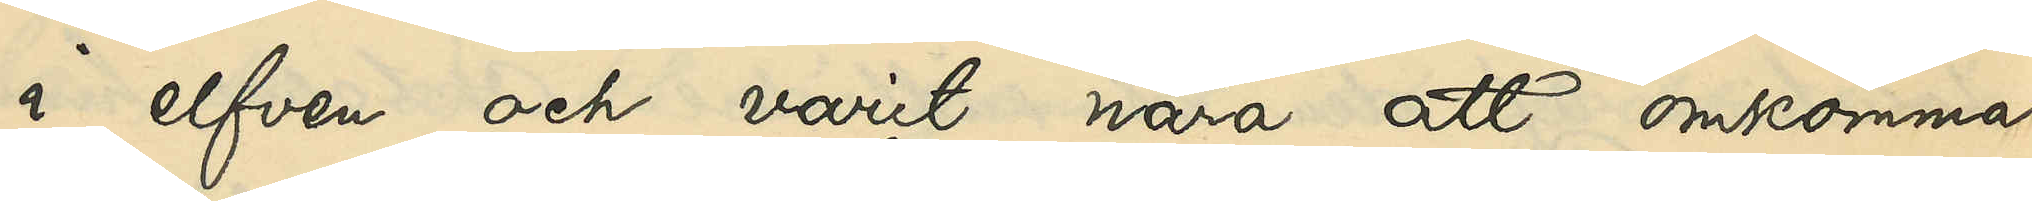i elfven och varit nära att omkomma,
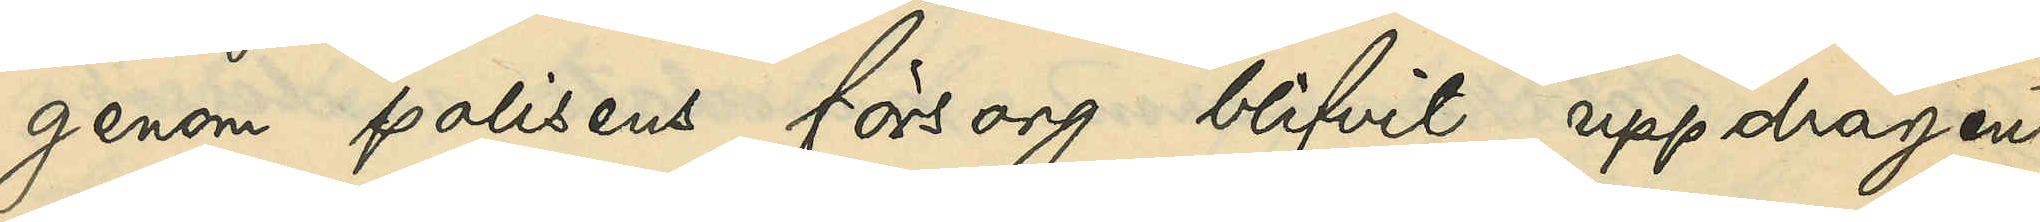genom polisens försorg blifvit uppdragen
